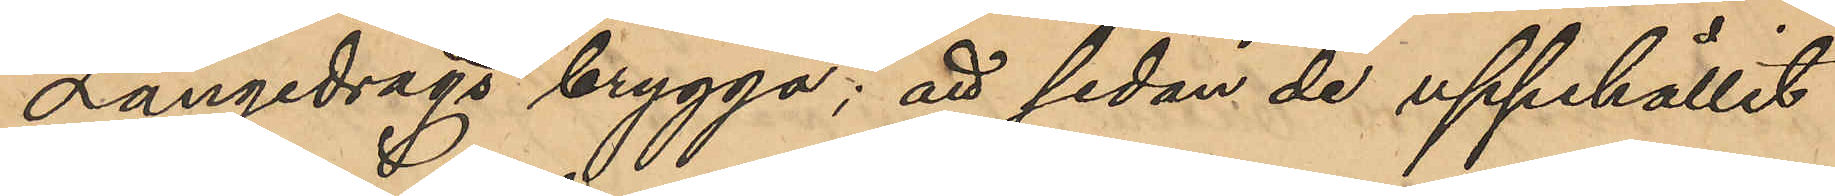Långedrags brygga; att sedan de uppehållit
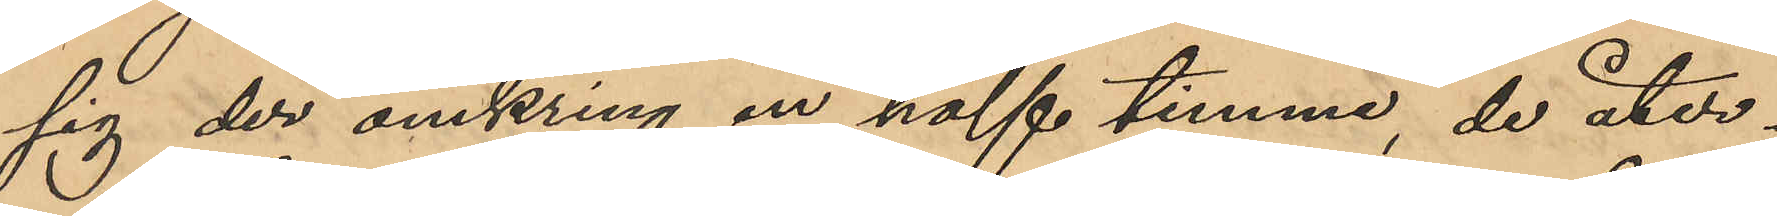sig der omkring en half timme, de åter¬
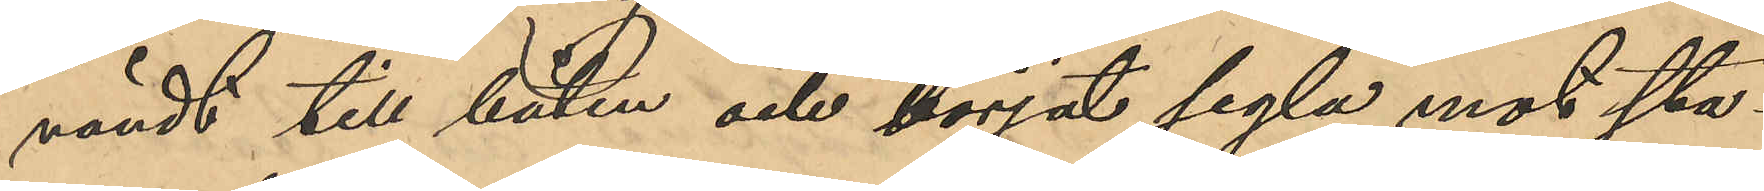vändt till båten och börjat segla mot sta¬
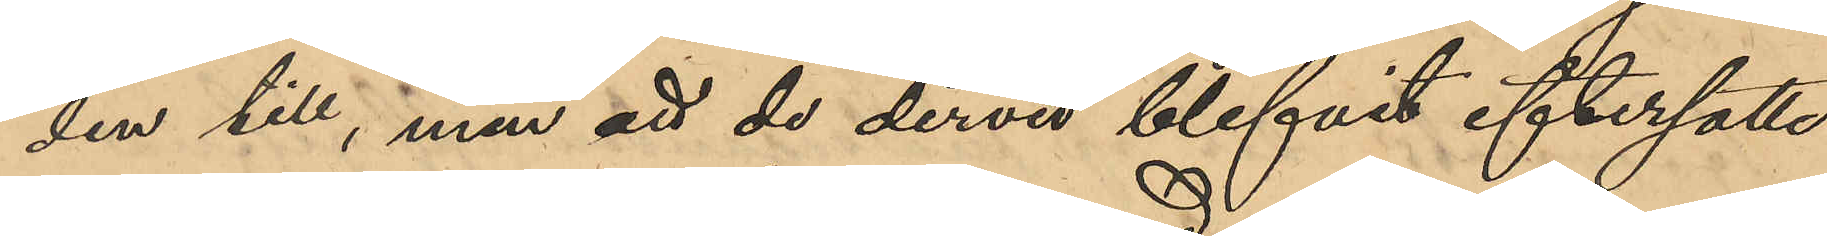den till, men att de dervid blifvit eftersatta
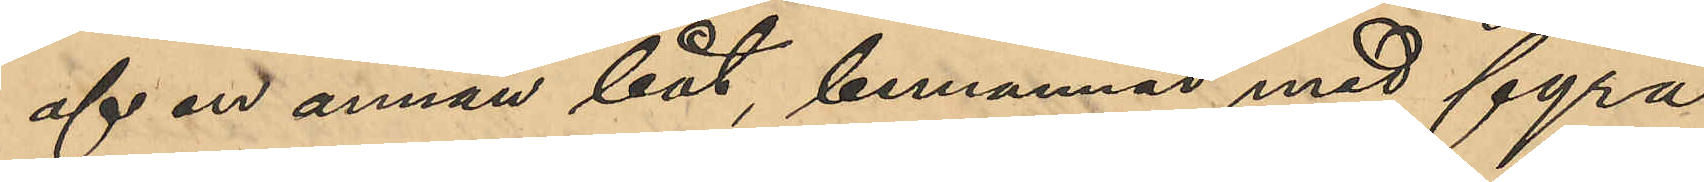af en annan båt, bemannad med fyra
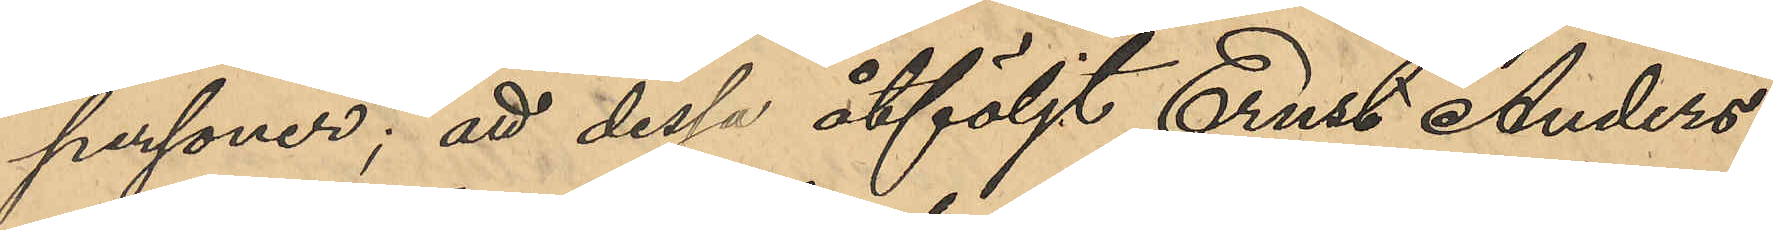personer; att dessa åtföljt Ernst Anders¬
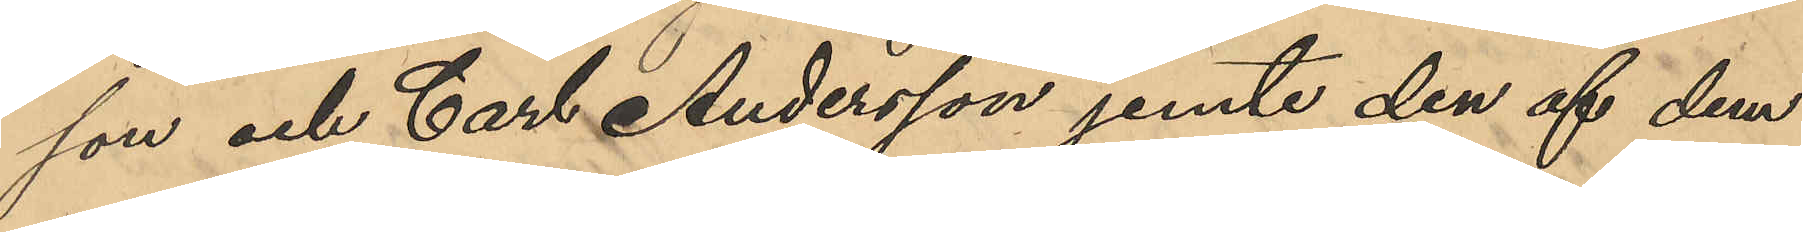son och Carl Andersson jemte den af dem
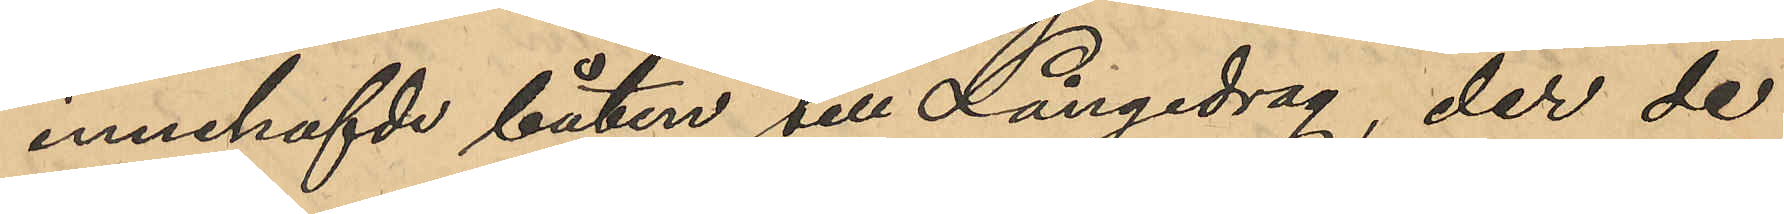innehafde båten till Långedrag, der de
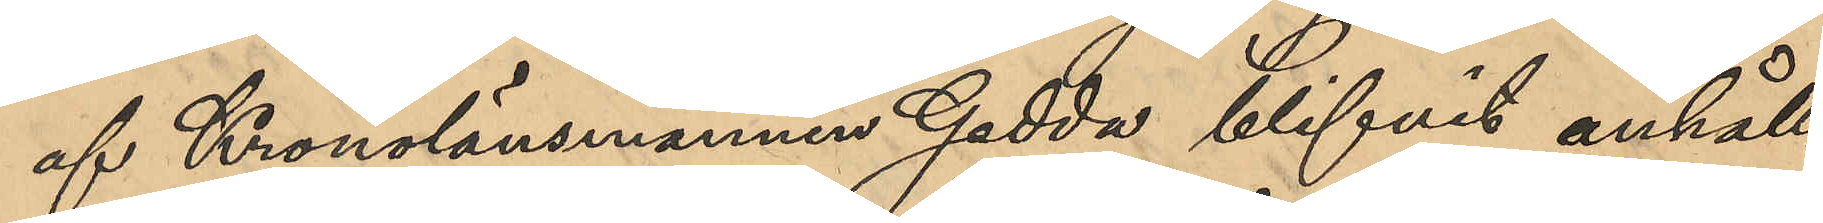af Kronolänsmannen Gedda blifvit anhåll¬
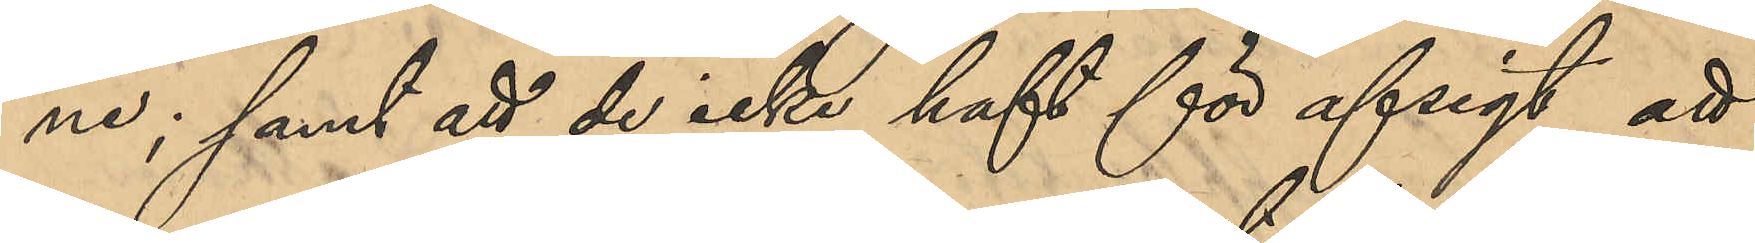ne; samt att de icke haft för afsigt att
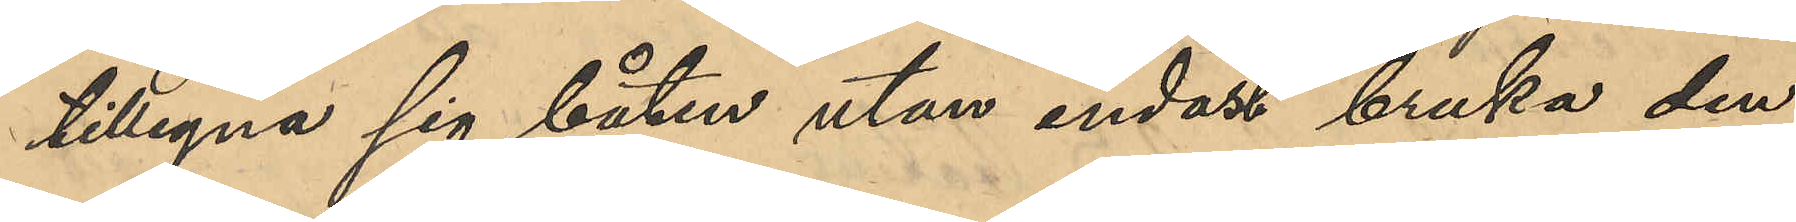tillegna sig båten utan endast bruka den
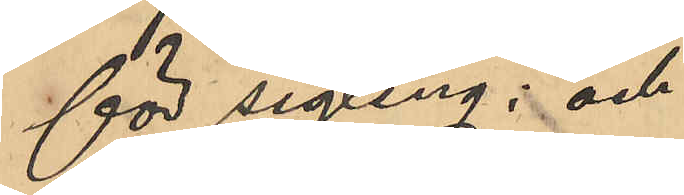för segling; och
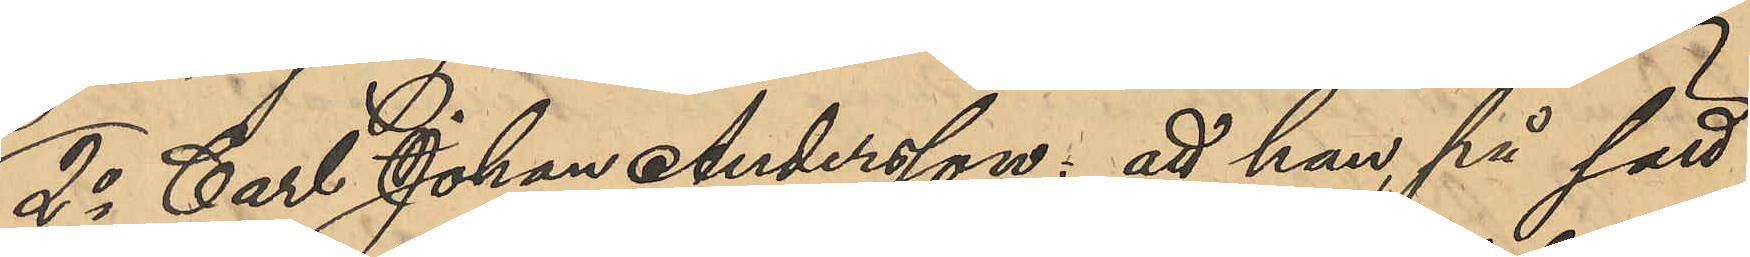2o Carl Johan Andersson: att han på sätt
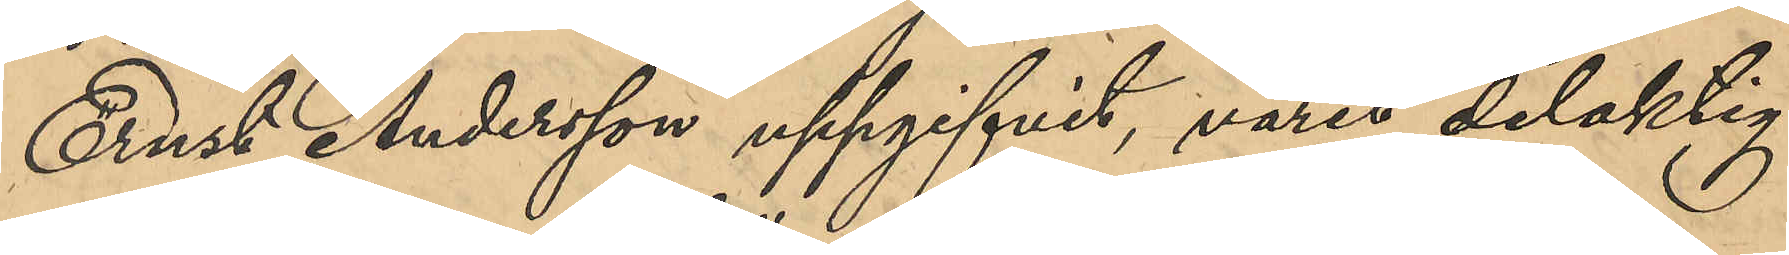Ernst Andersson uppgifvit varit delaktig
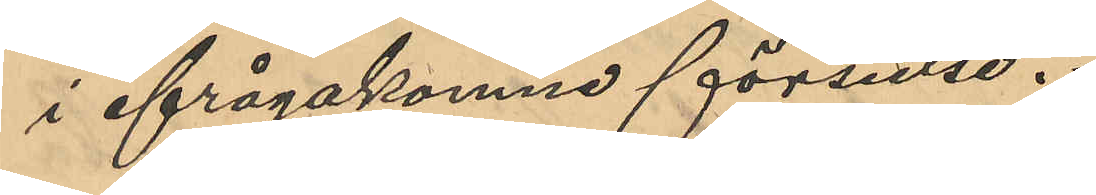i ifrågakomne förseelse.
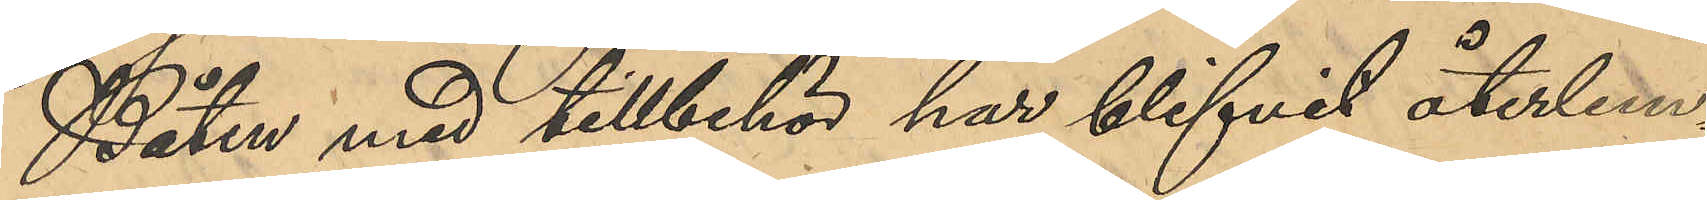Båten med tillbehör har blifvit återlem¬
